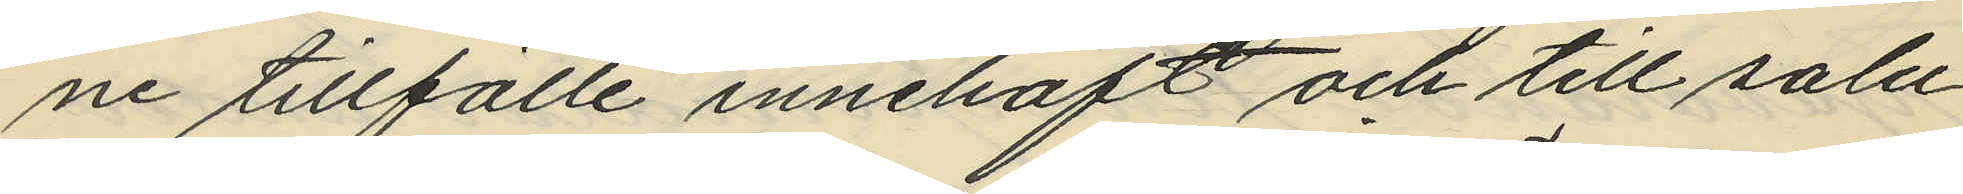ne tillfälle innehaft och till salu
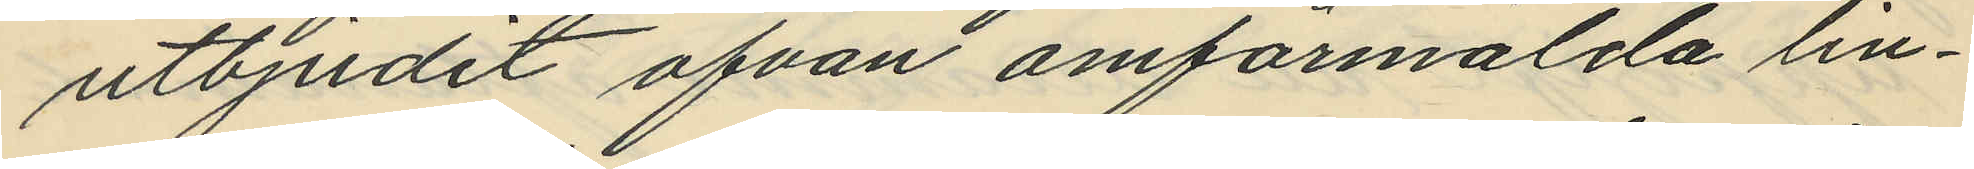utbjudit ofvan omförmälda lin¬
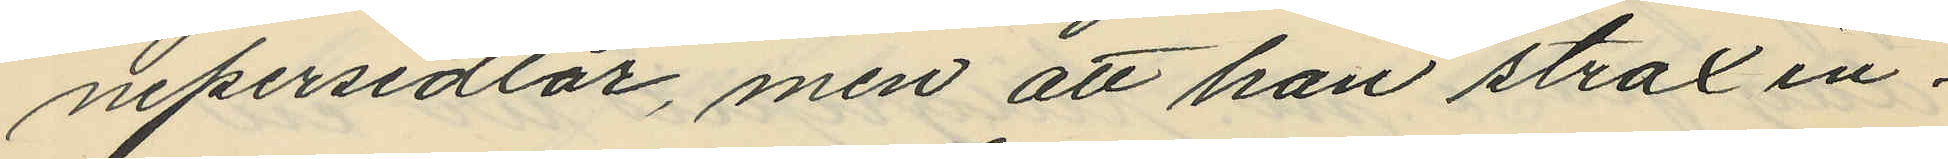nepersedlar, men att han strax in¬
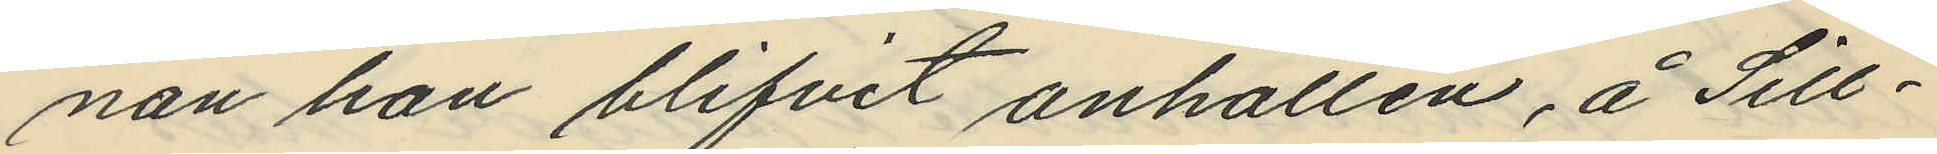nan han blifvit anhållen, å Sill¬
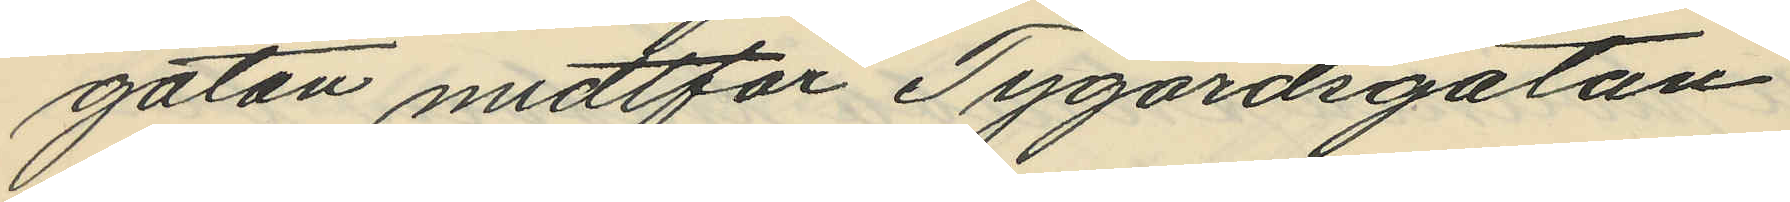gatan midtför Tygårdsgatan
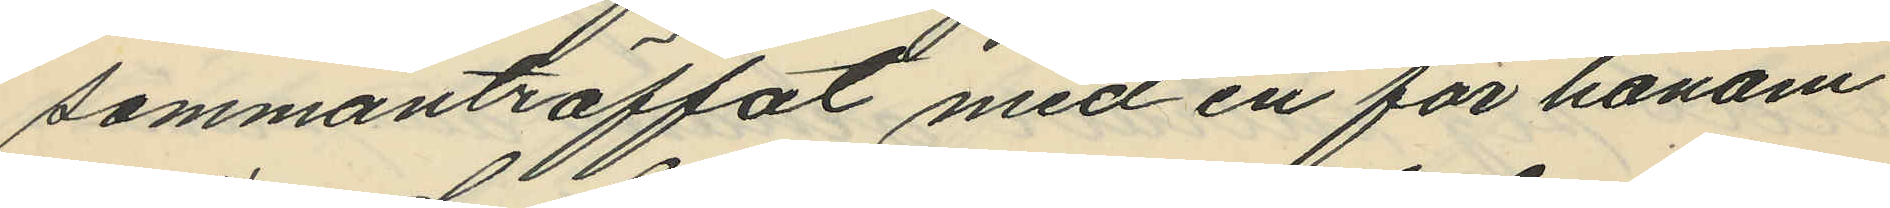sammanträffat med en för honom
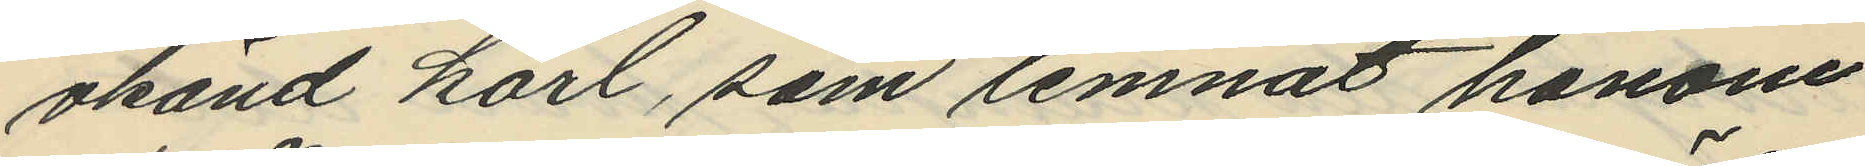okänd karl, som lemnat honom
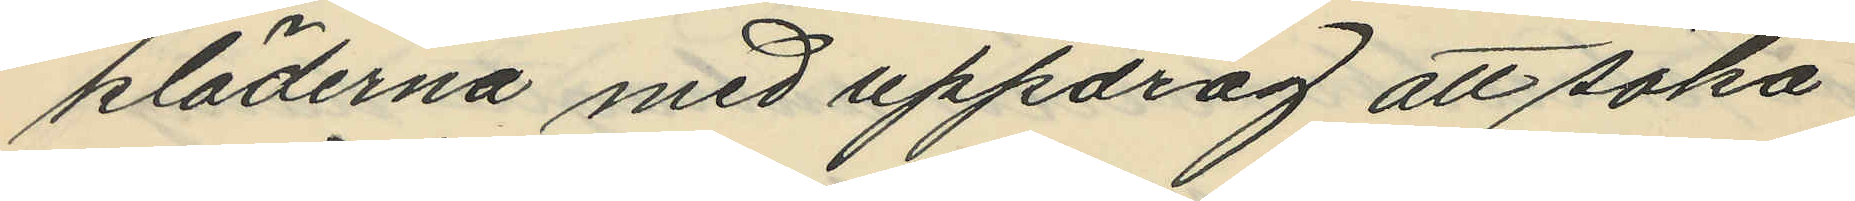kläderna med uppdrag att söka
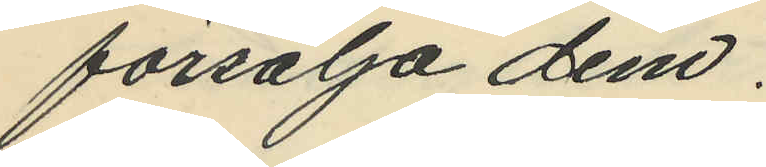försälja dem.
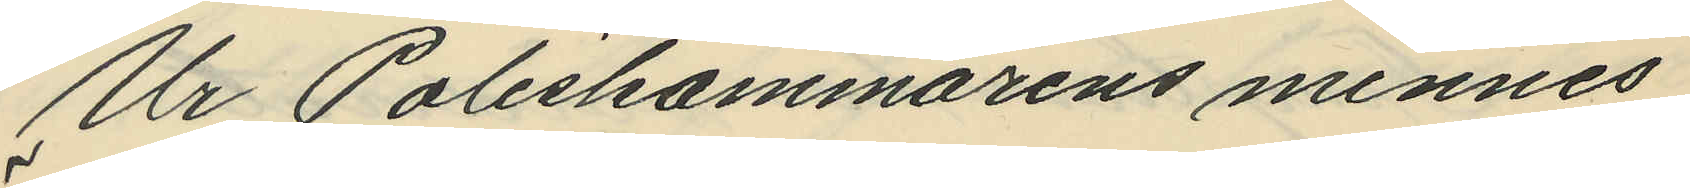Ur Poliskammarens minnes
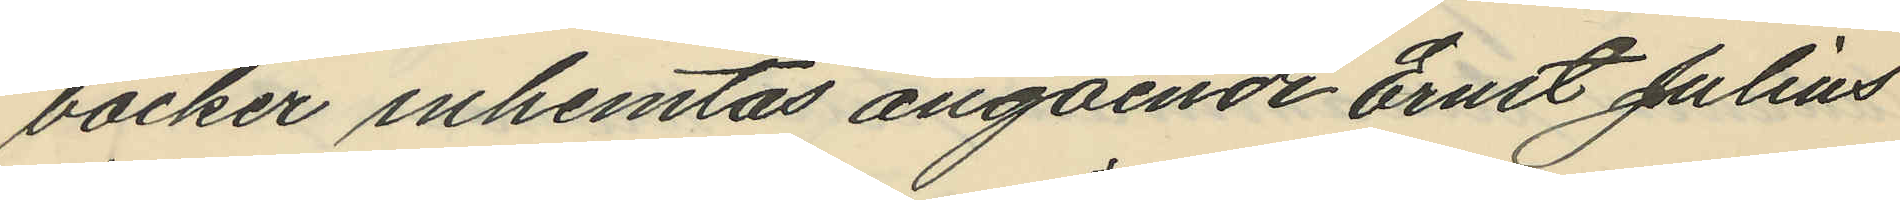böcker inhemtas angående Ernst Julius
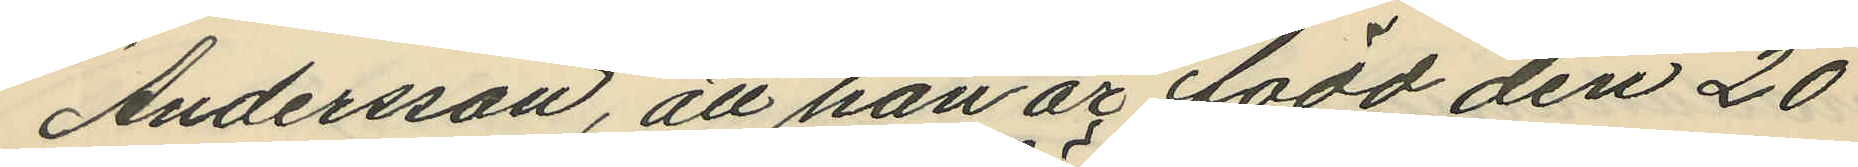Andersson, att han är född den 20
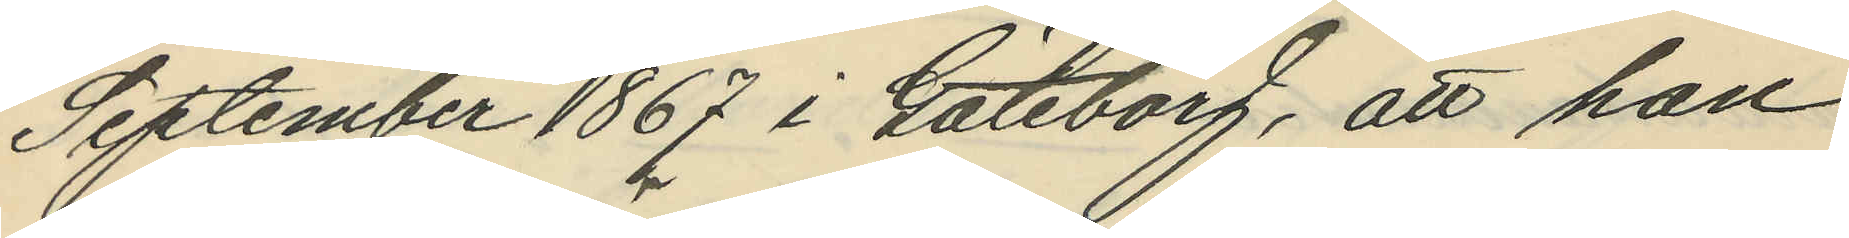September 1867 i Göteborg, att han
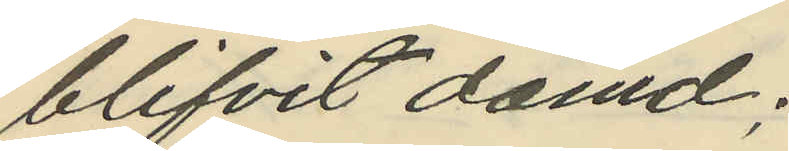blifvit dömd;
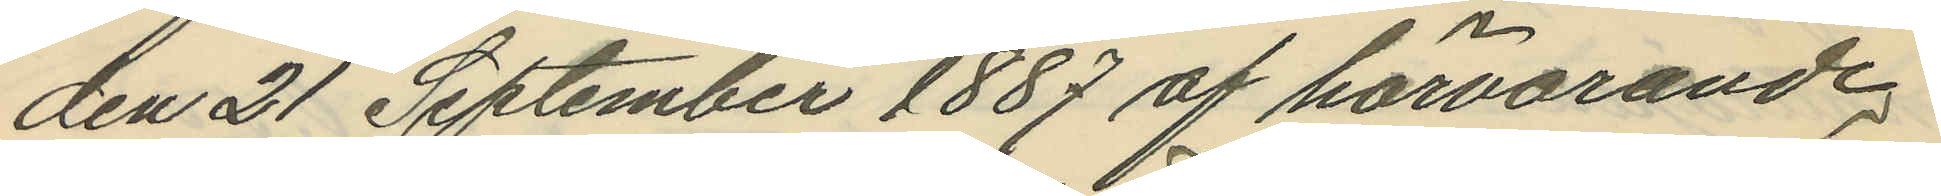den 21 September 1887 af härvarande
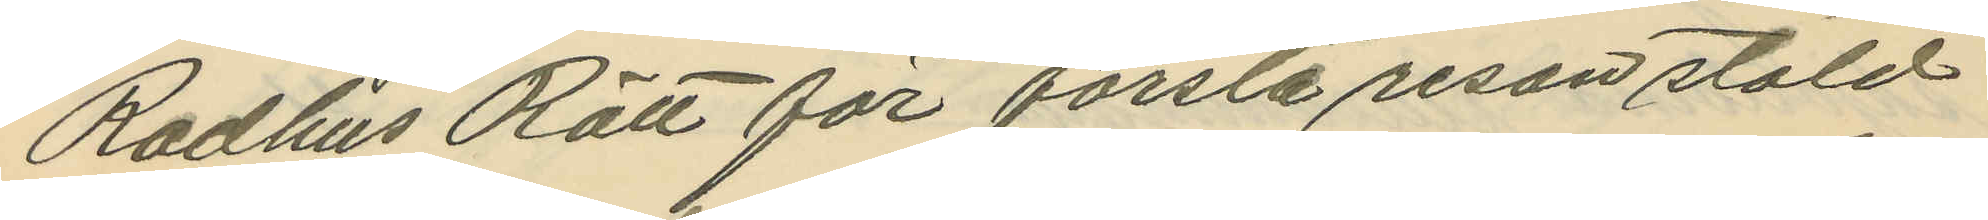Radhus Rätt för första resan stöld
